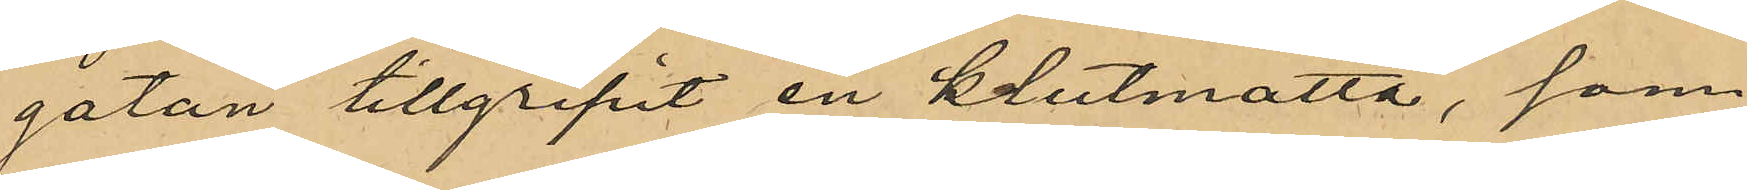gatan tillgripit en klutmatta, som
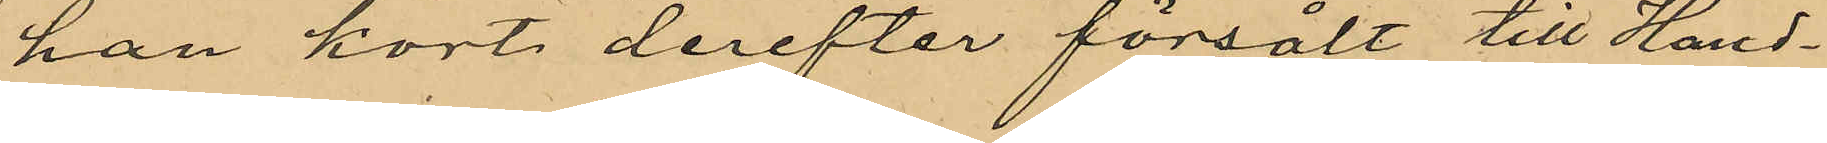han kort derefter försålt till Hand¬
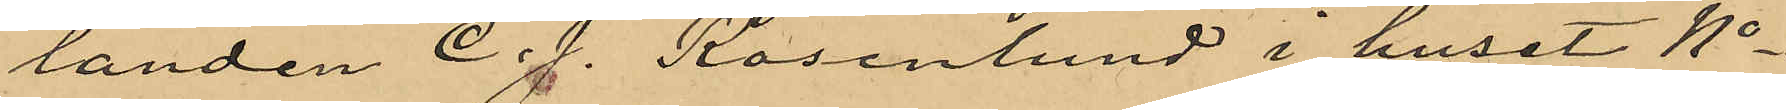landen C. J. Rosenlund i huset No
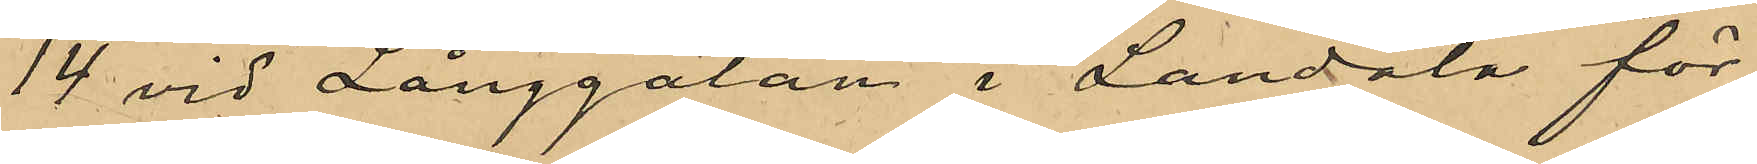14 vid Långgatan i Landala för
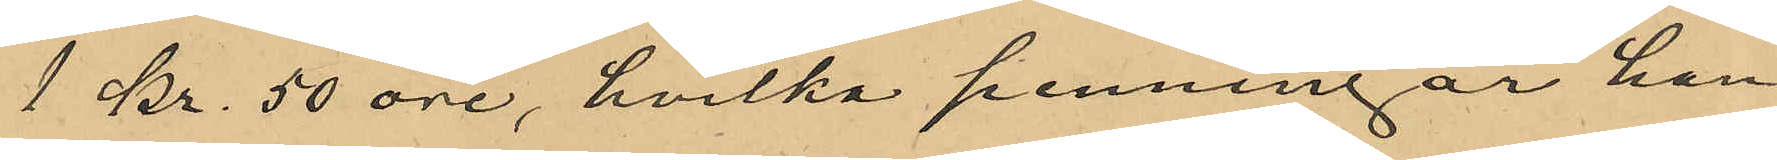1 Kr. 50 öre, hvilka penningar han
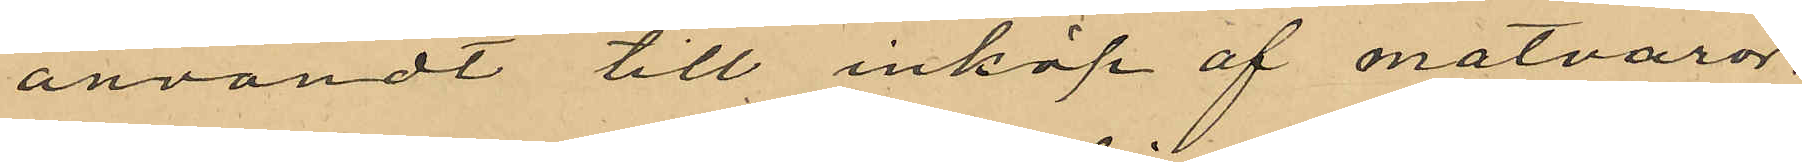användt till inköp af matvaror,
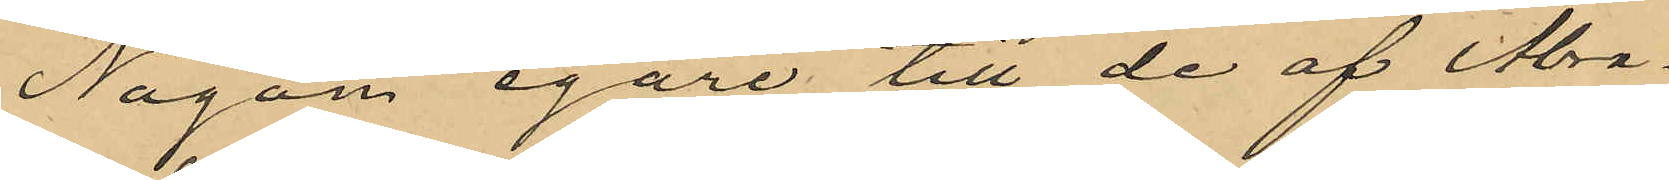Någon egare till de af Abra¬
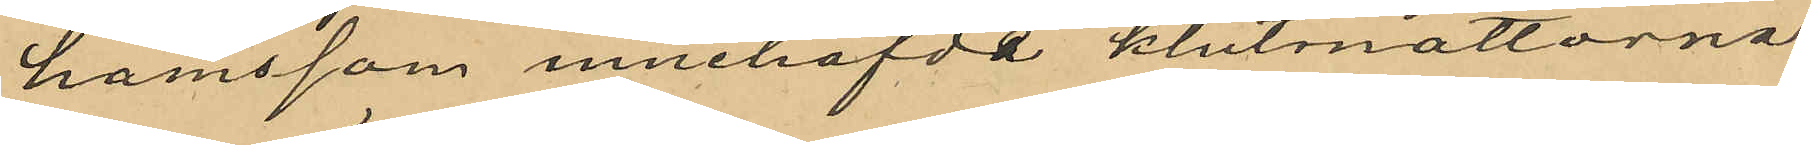hamsson innehafde klutmattorna
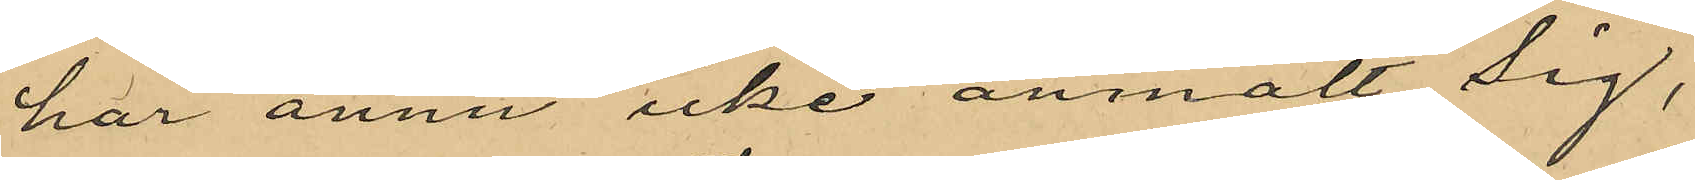har ännu icke anmält sig,
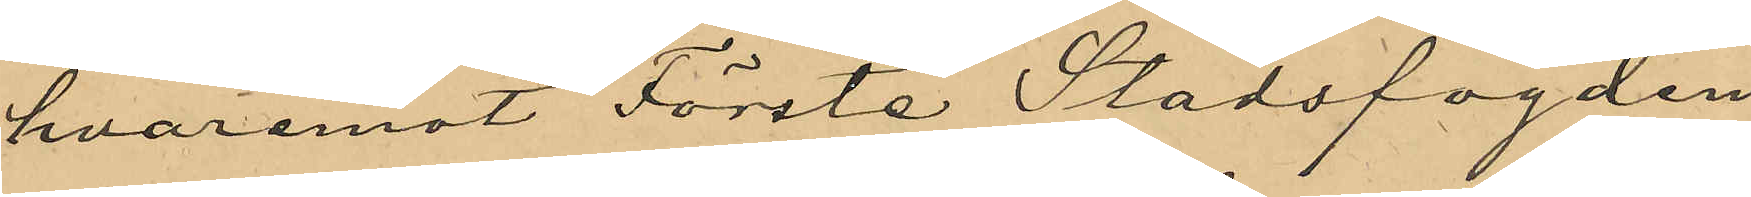hvaremot Första Stadsfogden
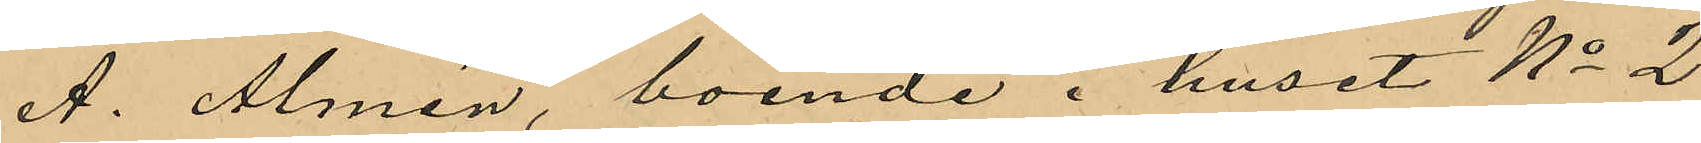A. Almén, boende i huset No 2
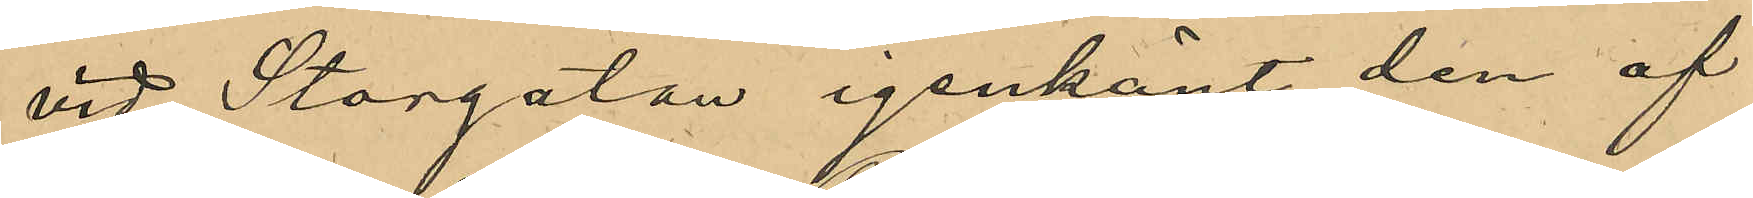vid Storgatan igenkänt den af
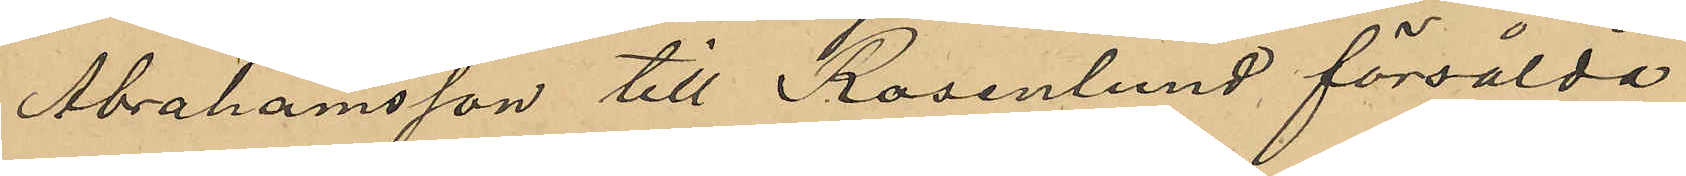Abrahamsson till Rosenlund försålda
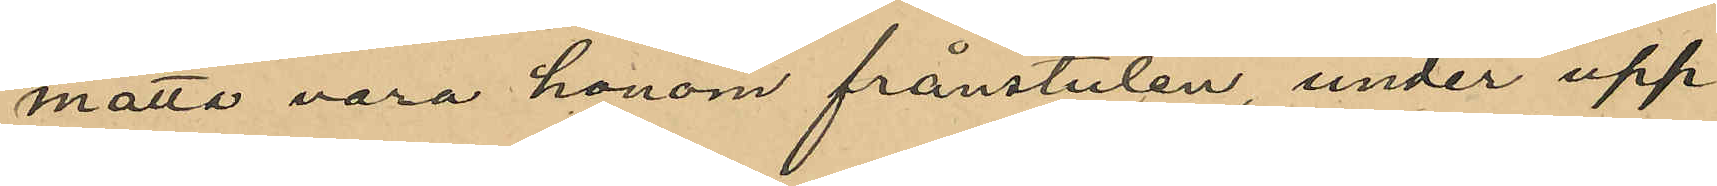matta vara honom frånstulen, under upp¬
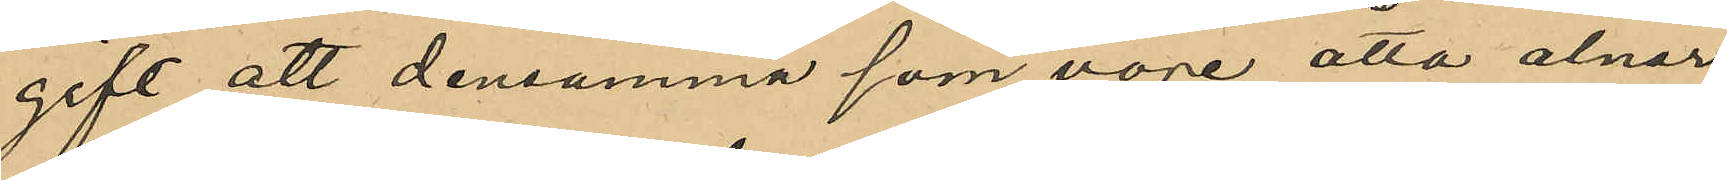gift att densamma som vore åtta alnar
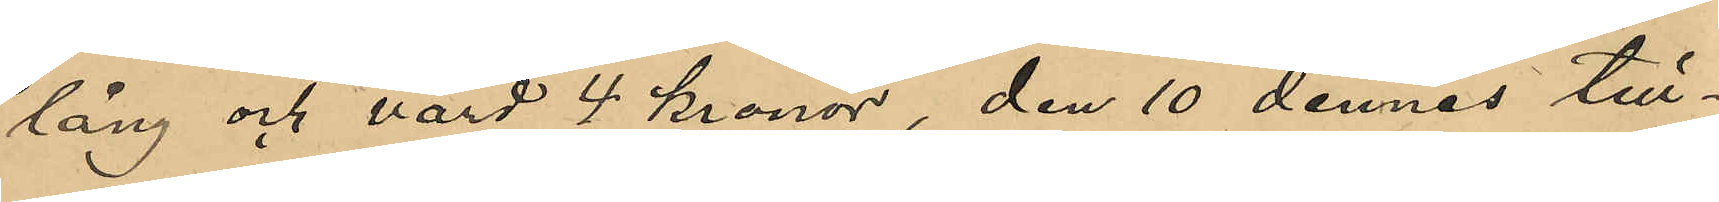lång och värd 4 kronor, den 10 dennes till¬
